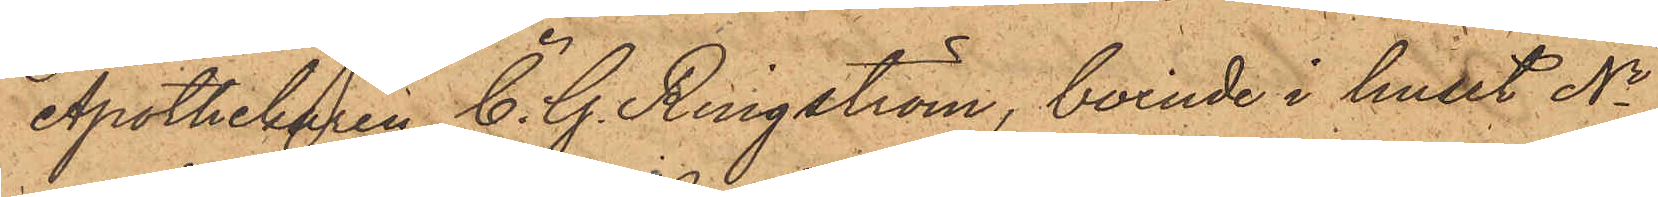Apothekaren C. G. Ringström, boende i huset No
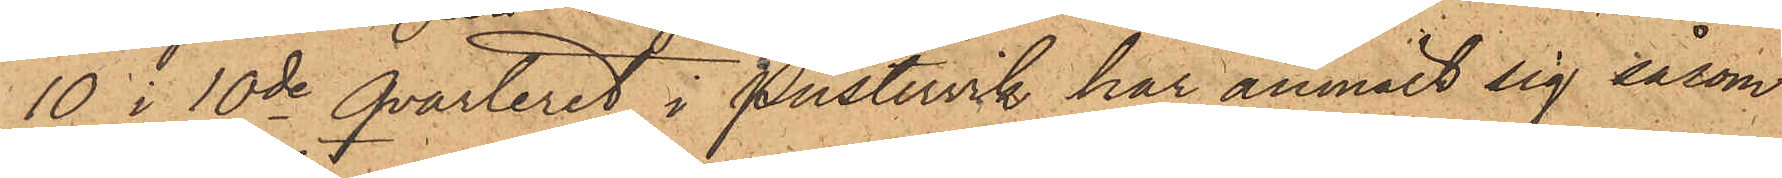10 i 10de Qvarteret i Pustervik har anmält sig såsom
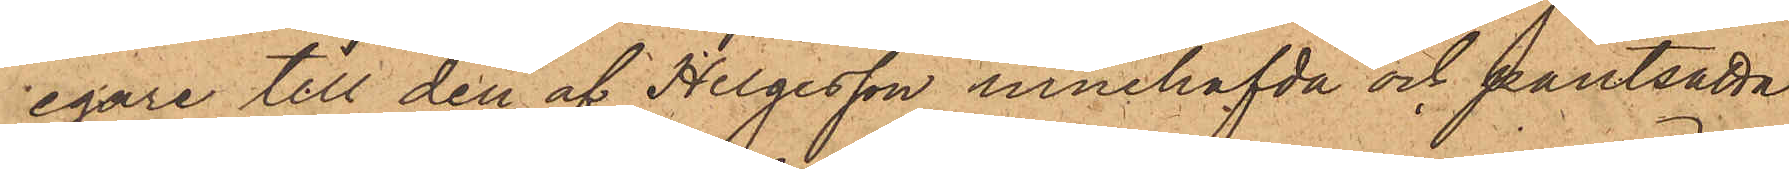egare till den af Helgesson innehafvda och pantsatta
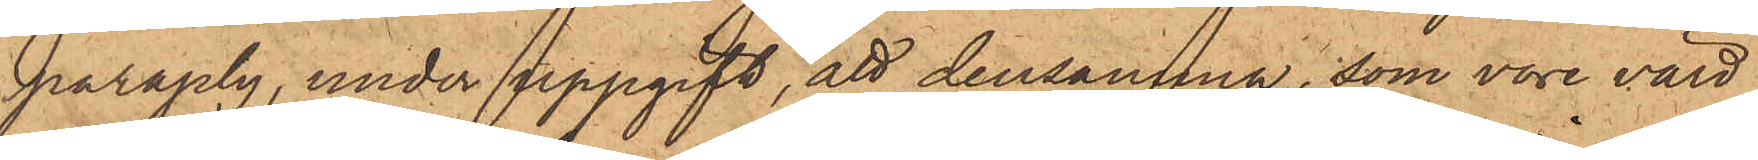paraply, under uppgift, att densamma, som vore värd
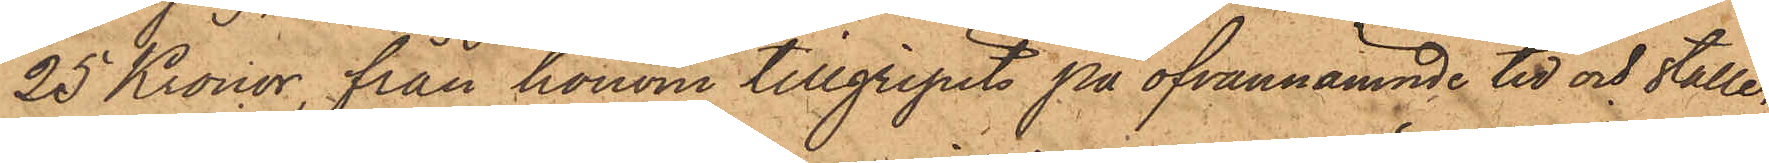25 Kronor, från honom tillgripits på ofvannämnde tid och ställe,
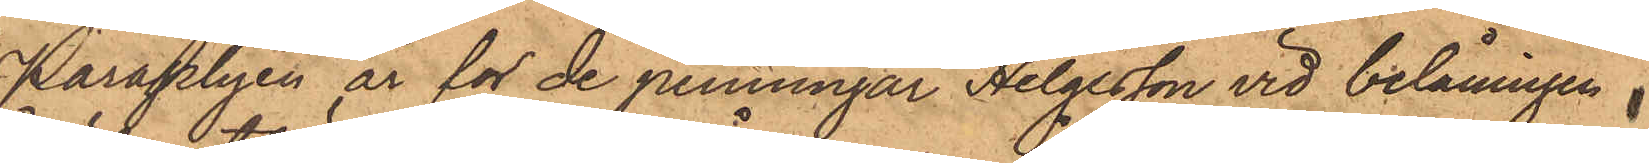Paraplyen är för de penningar Helgesson vid belåningen
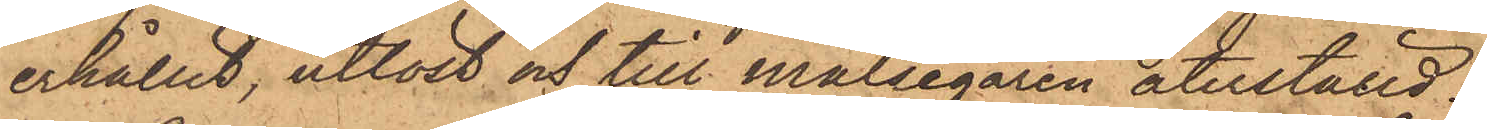erhållit, utlöst och till målsegaren återställd.
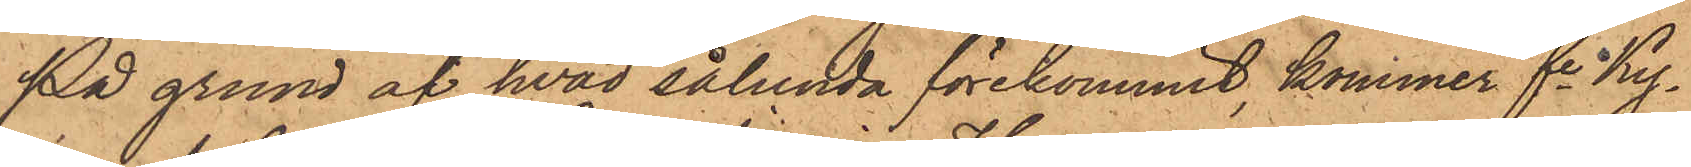På grund af hvad sålunda förekommit, kommer fe Ky¬
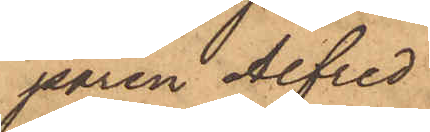paren Alfred
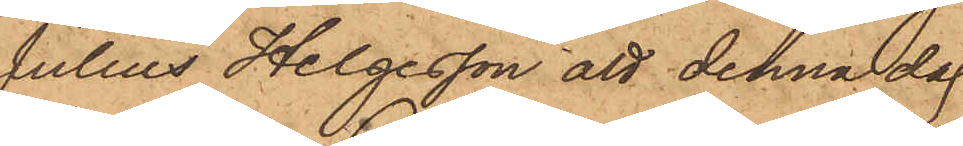Julius Helgesson att denna dag
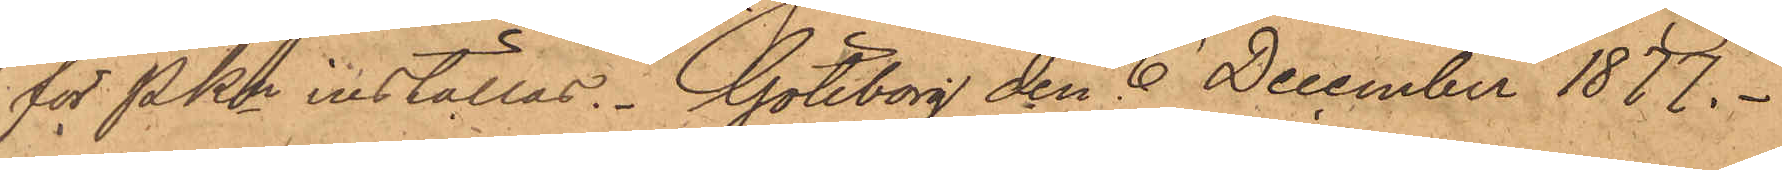för PKn inställas. Göteborg den 6 December 1877.
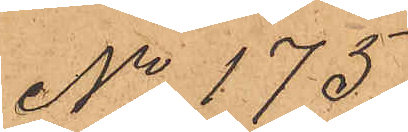No 175.
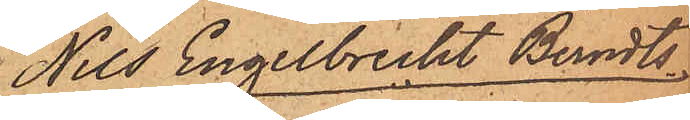Nils Engelbrecht Berndts¬
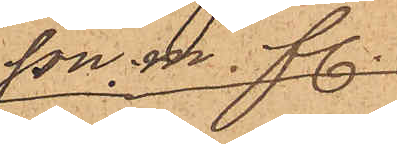son. m. fl.
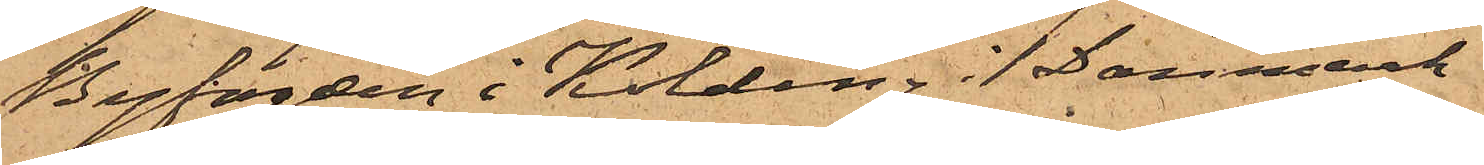Byfogden i Kolding i Danmark
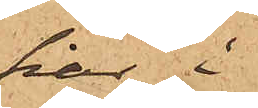har i
